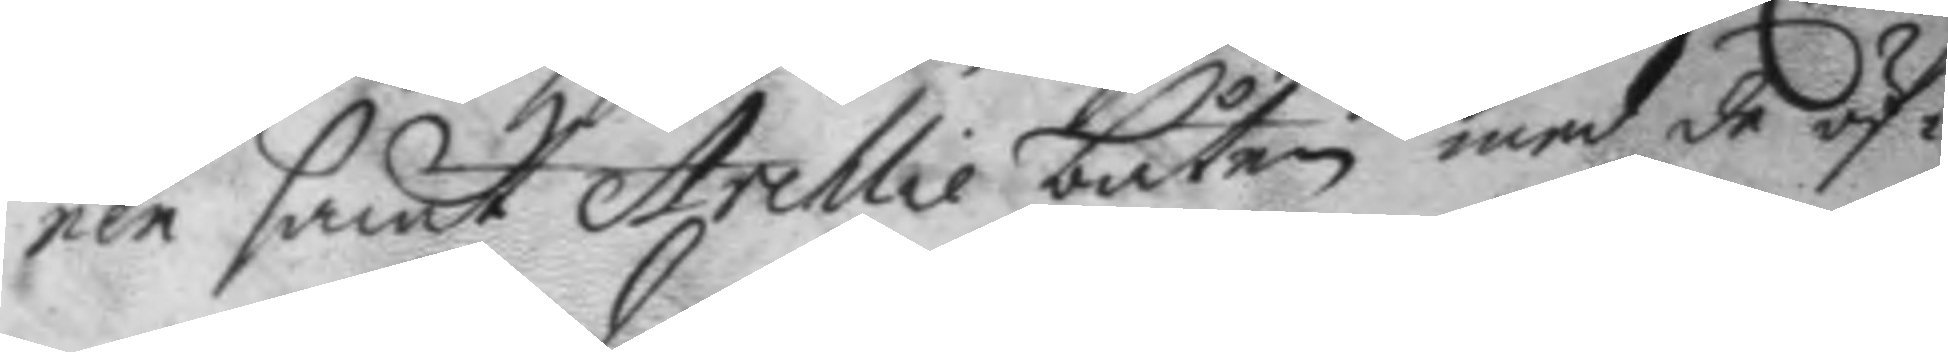nen samt Archlie båten med de öf¬
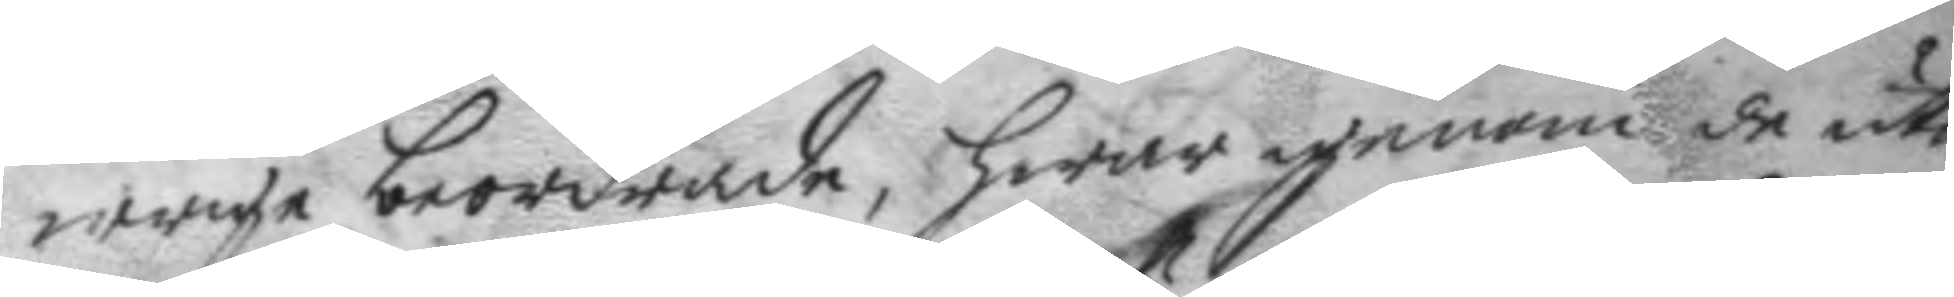wrige beirdrade, hwar genom de uti
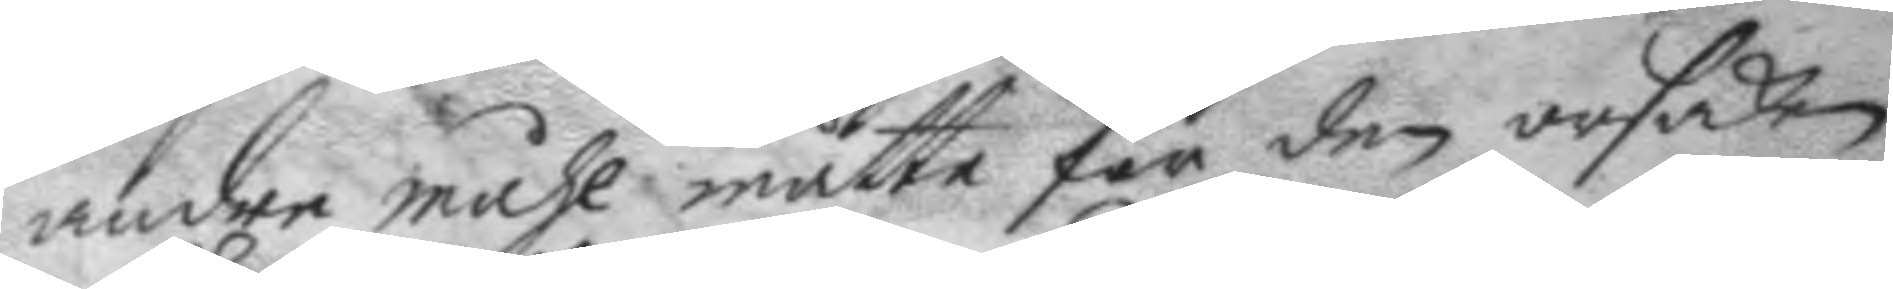andre måhl måtte för den orsaken
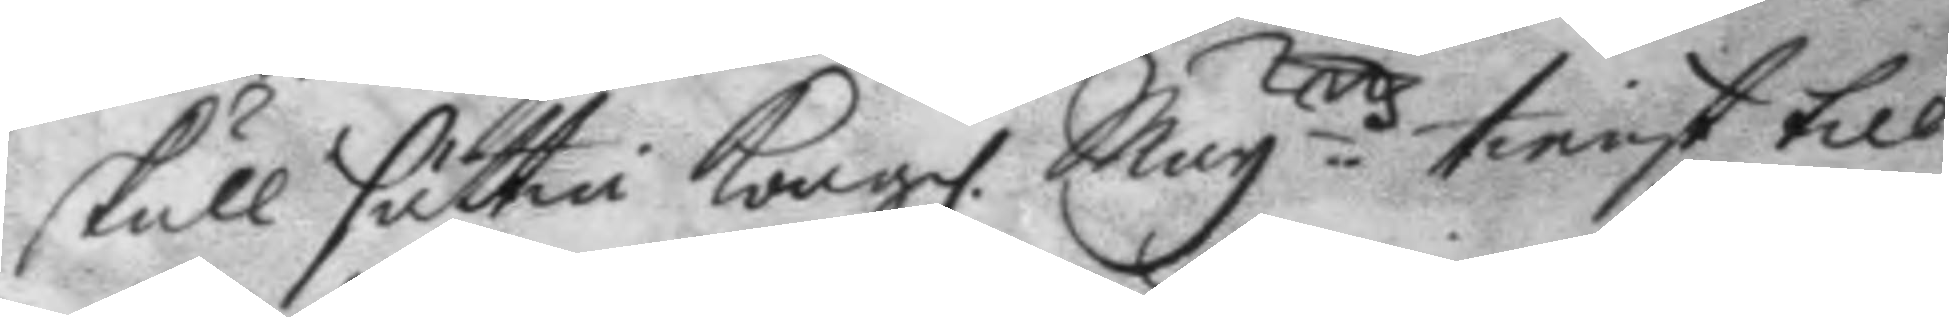skull sättia Kongl. Mayttz tienst till¬
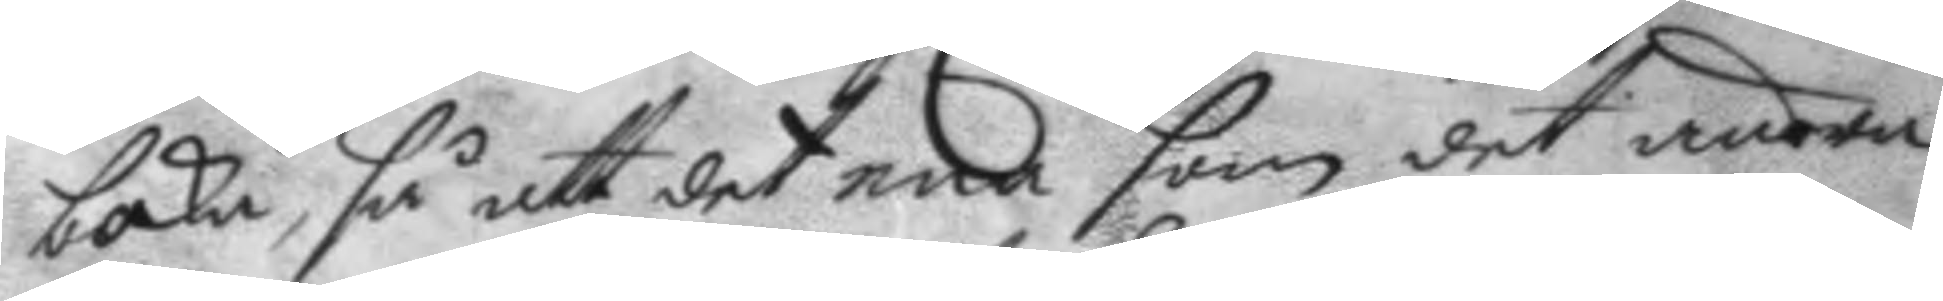baka, så att det ena som det andra
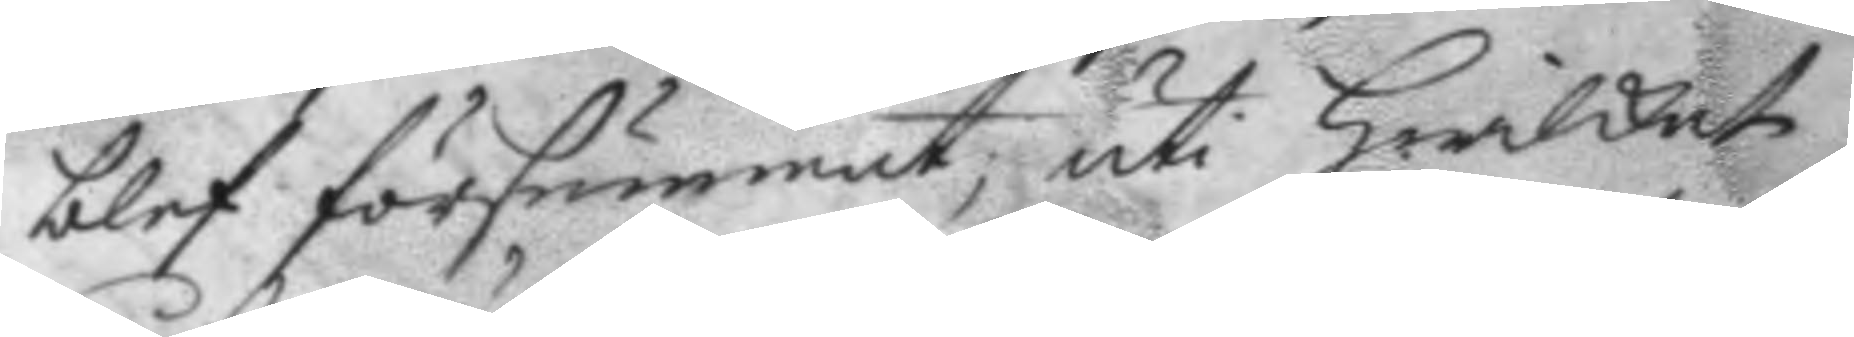blef försummat; uti heilket
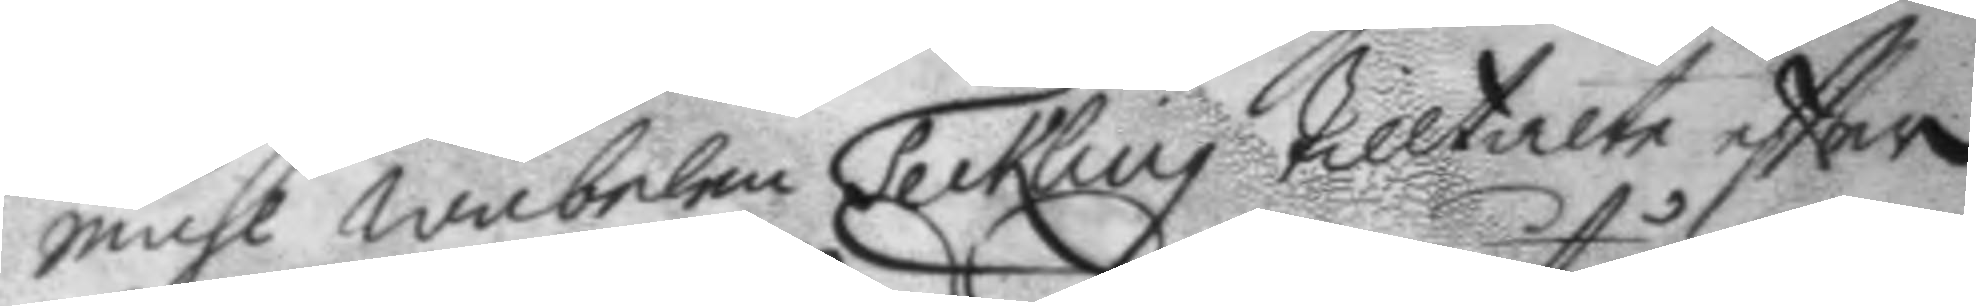måhl wäbelen Teckling tilltalte eftter
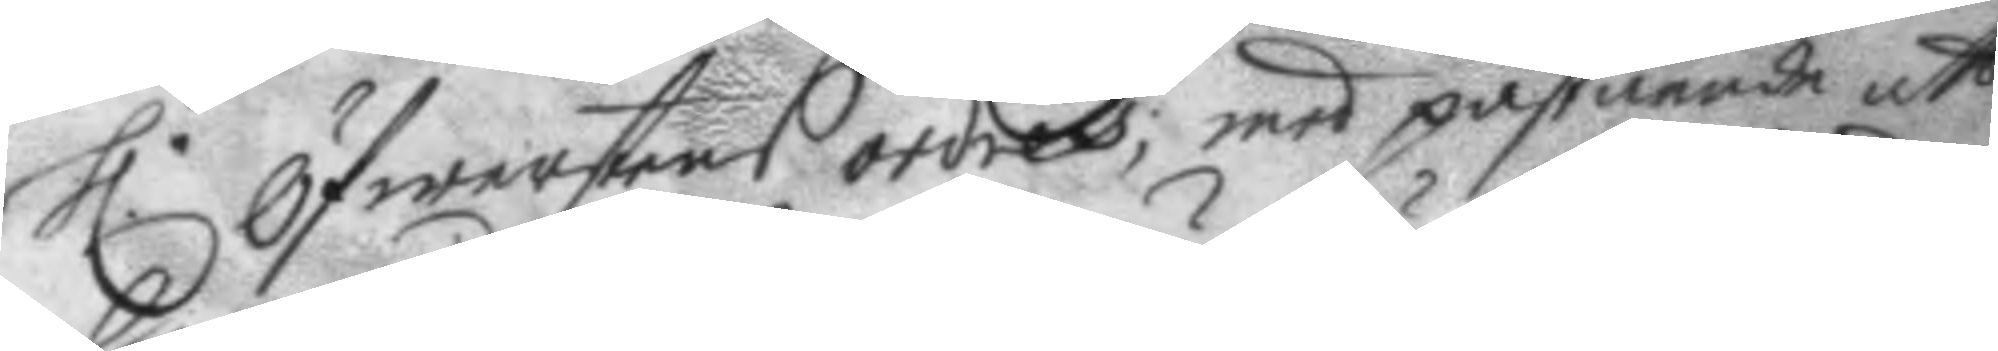h.r Öfwerstens ordres; men påstående att
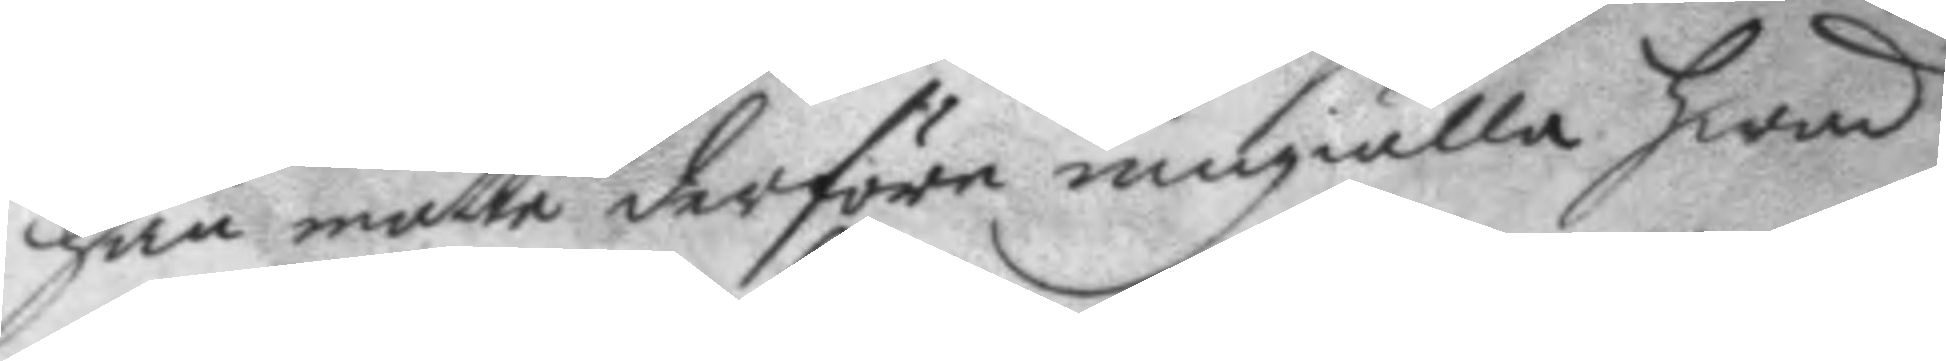han måtte derföre umgälla hwad
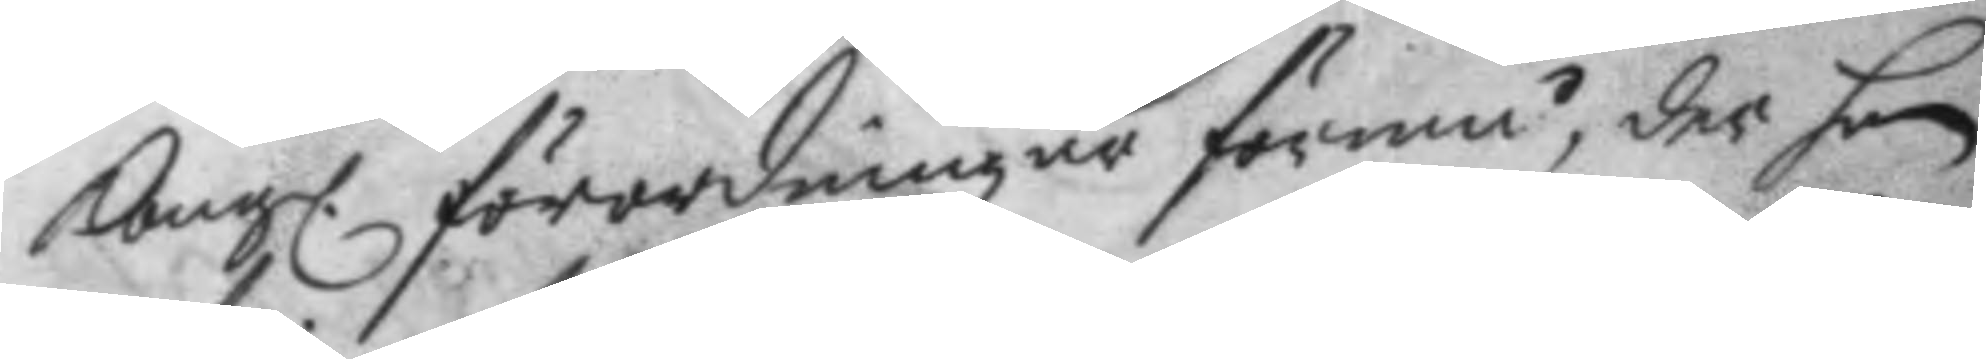Kongl. förordningen förmå, der han
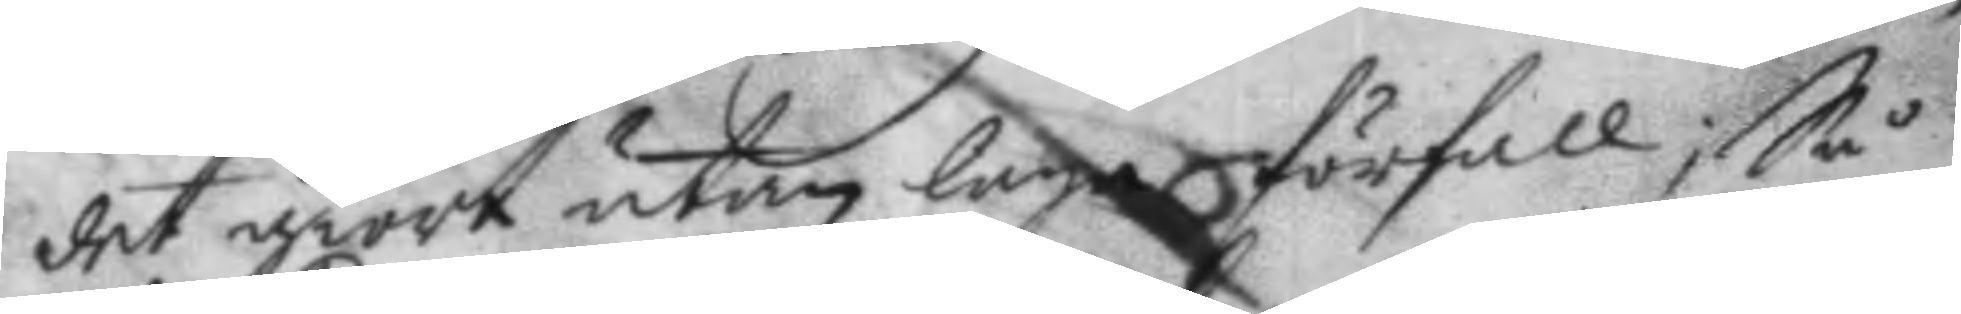det giort utan laga förfall; Så
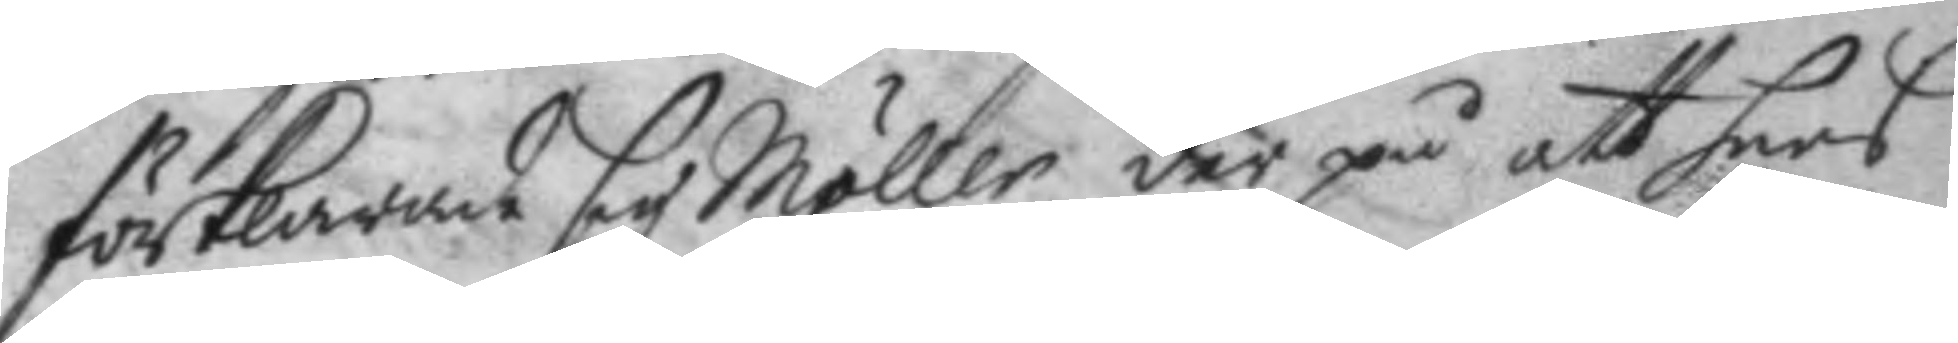förklarade sig Möller der på att hans
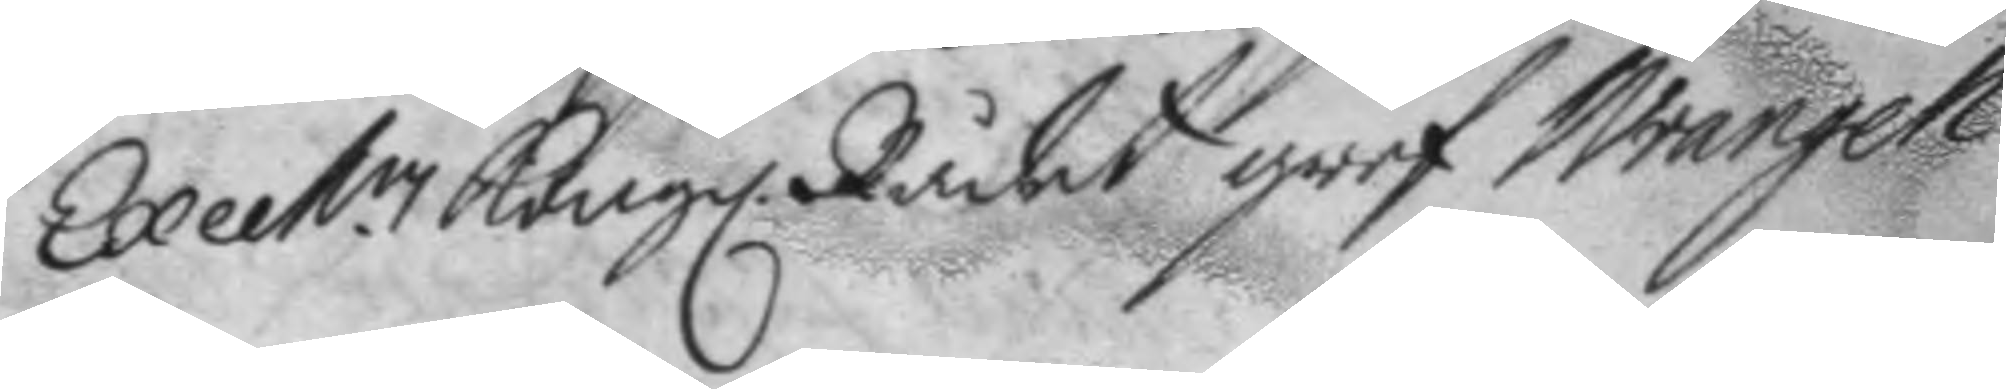Excet.en Kongl. Rådet gref Wrangell
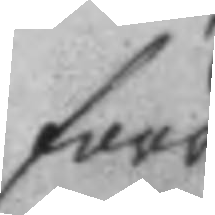förr
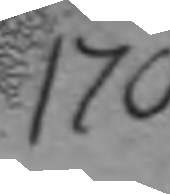170.
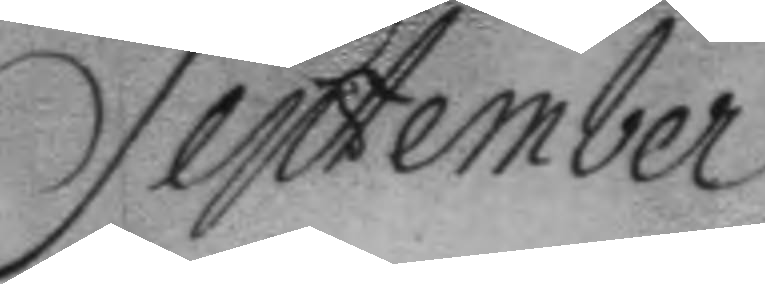September
